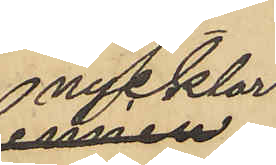nycklar
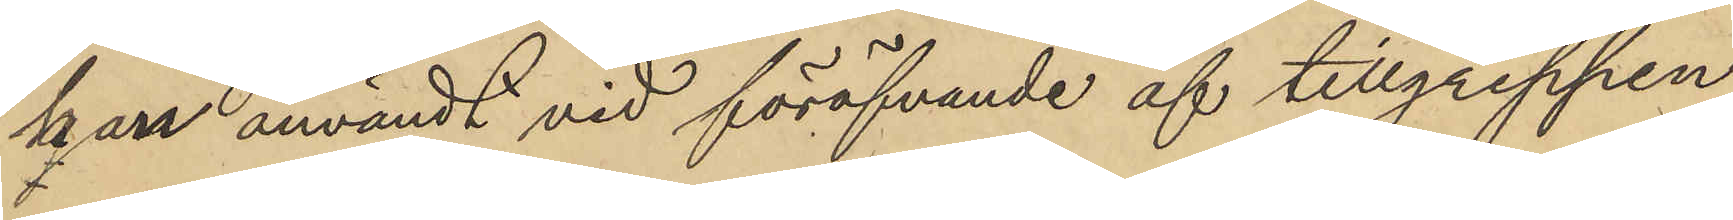han användt vid föröfvande af tillgreppen
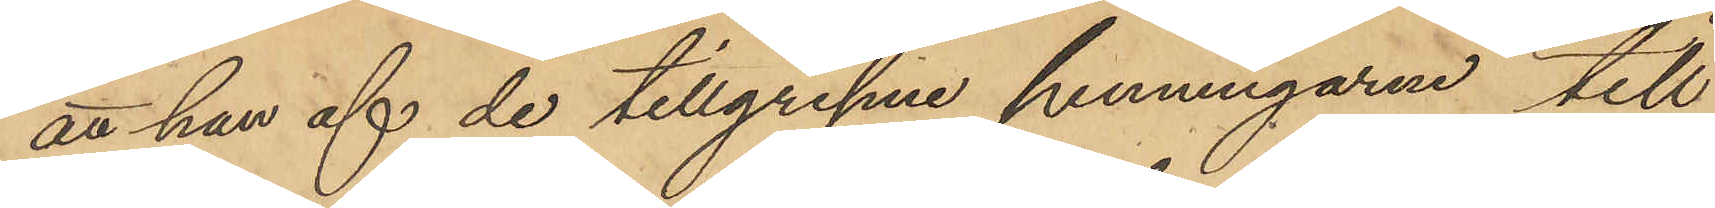att han af de tillgripne penningarne till
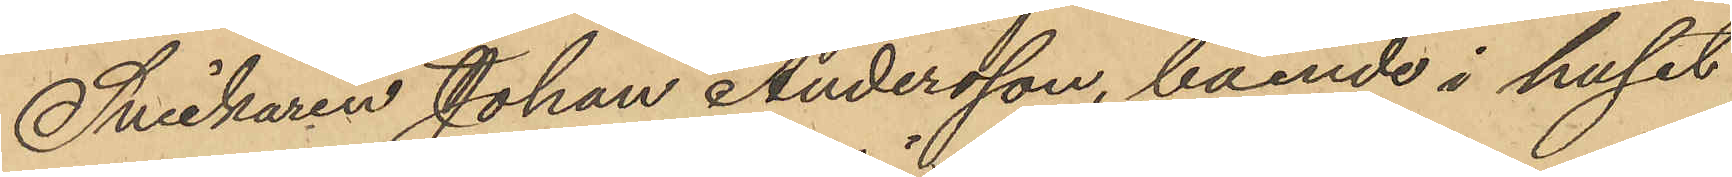Snickaren Johan Andersson, boende i huset
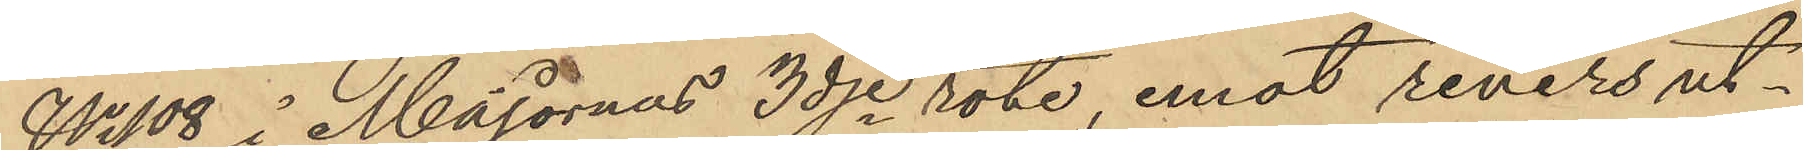No 108 i Majornas 3dje rote, emot revers ut¬
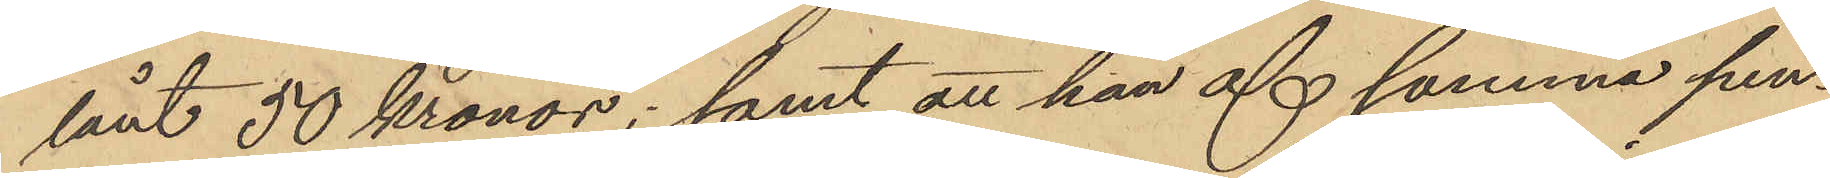lånt 50 Kronor; samt att han af samma pen¬
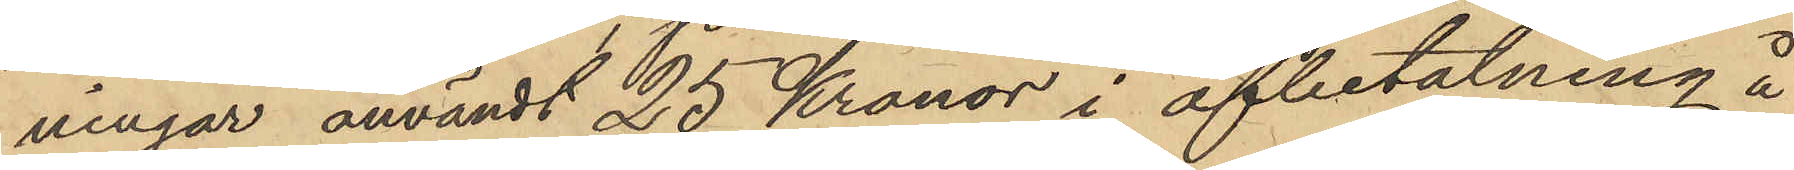ningar användt 25 Kronor i afbetalning å
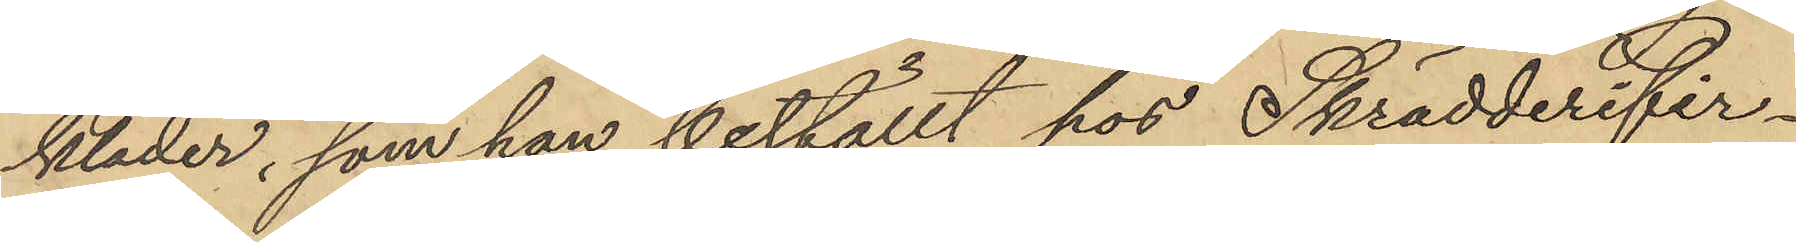kläder, som han beställt hos Skrädderifir¬
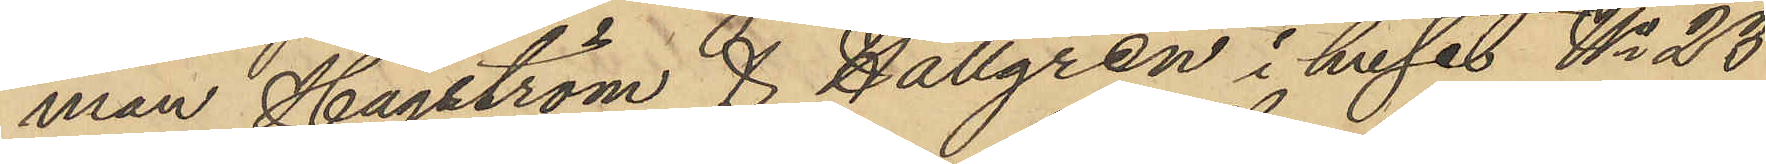man Hagström & Hallgren i huset No 23
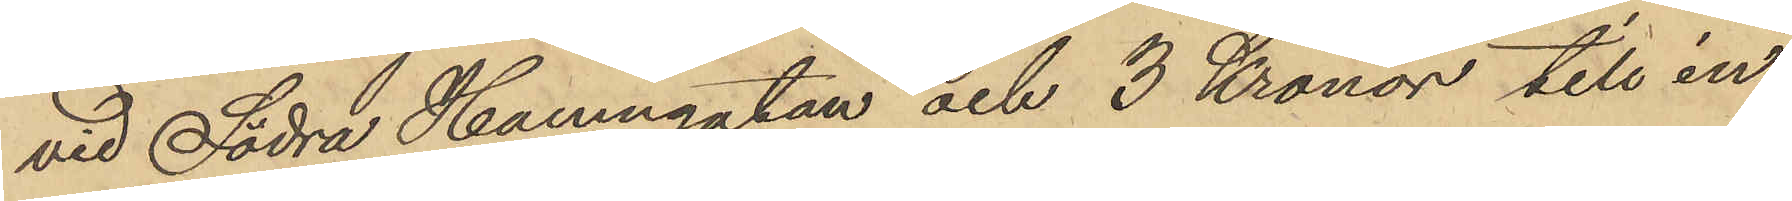vid Södra Hamngatan och 3 Kronor till in¬
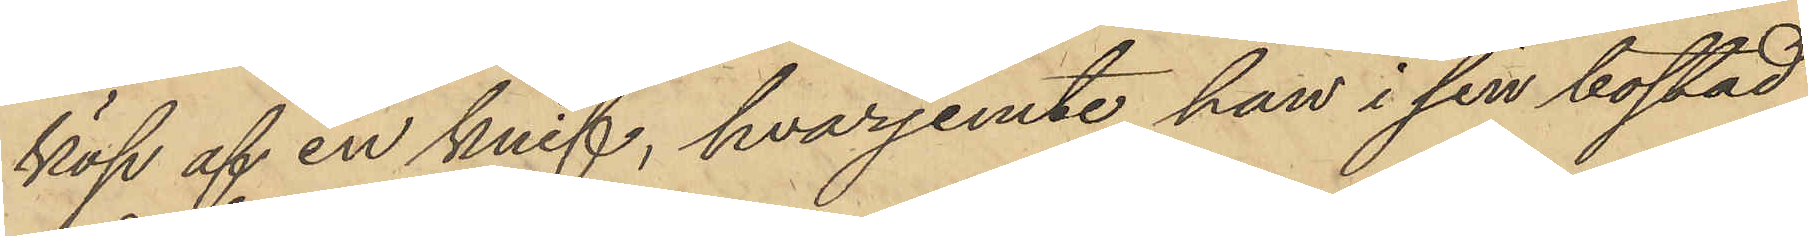köp af en knif, hvarjemte han i sin bostad
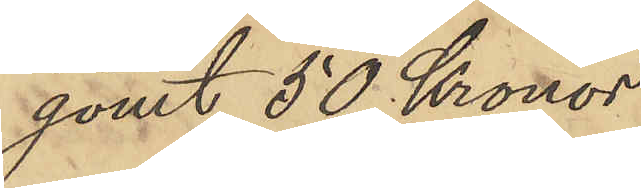gömt 50 Kronor.
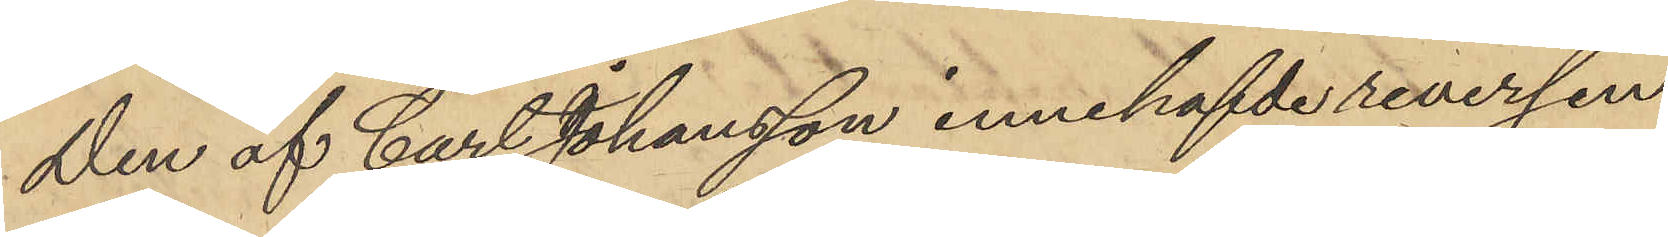Den af Carl Johansson innehafvde reversen
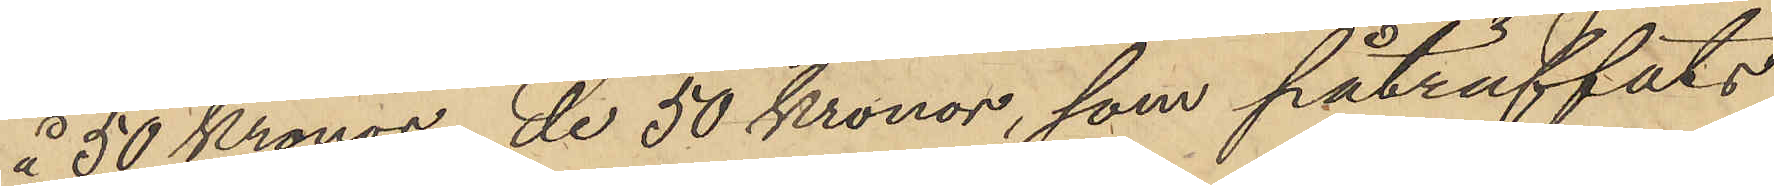å 50 Kronor, de 50 Kronor, som påträffats
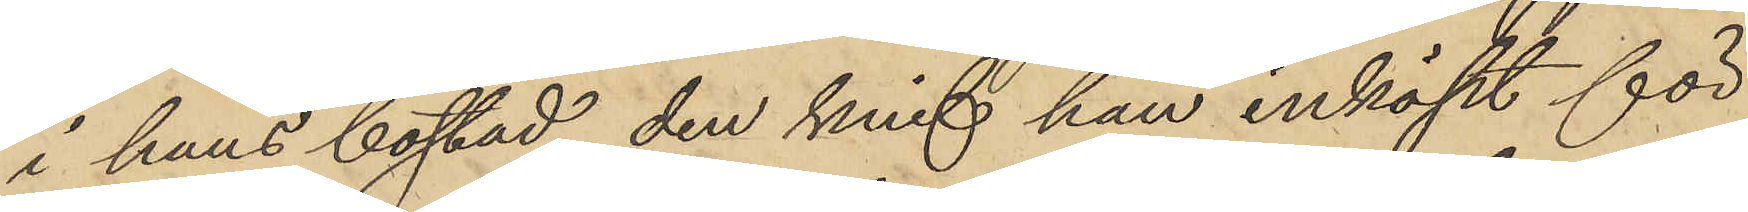i hans bostad, den knif han inköpt för
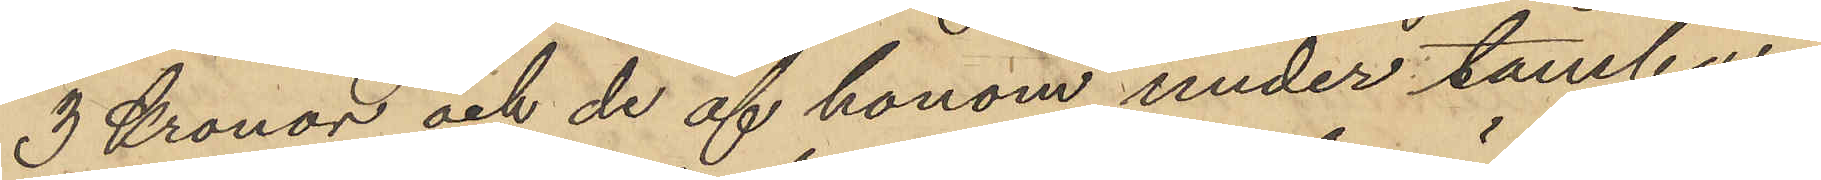3 Kronor och de af honom under tambur¬
